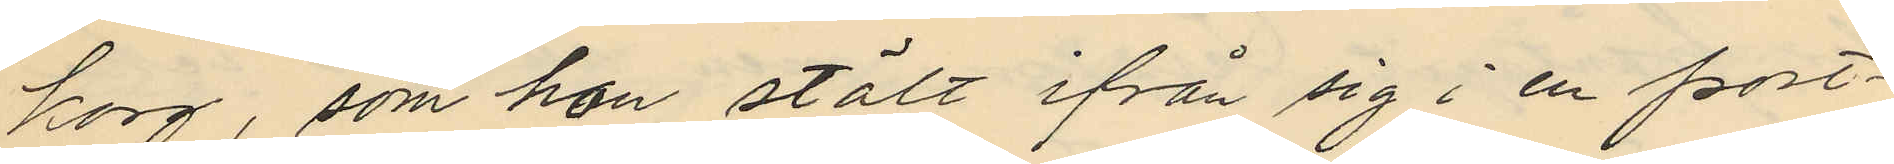korg, som hon stält ifrån sig i en port¬
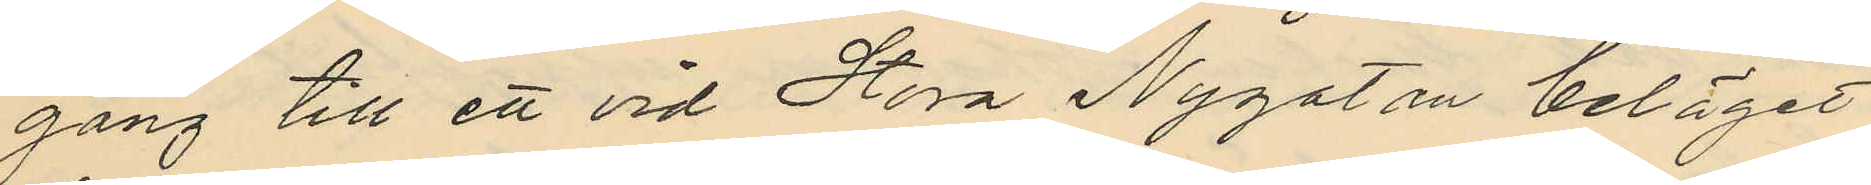gång till ett vid Stora Nygatan beläget
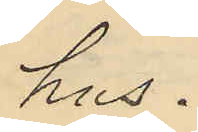hus.
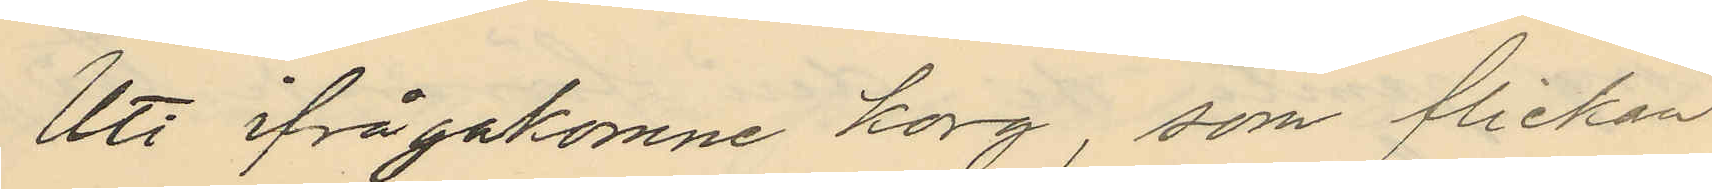Uti ifrågakomne korg, som flickan
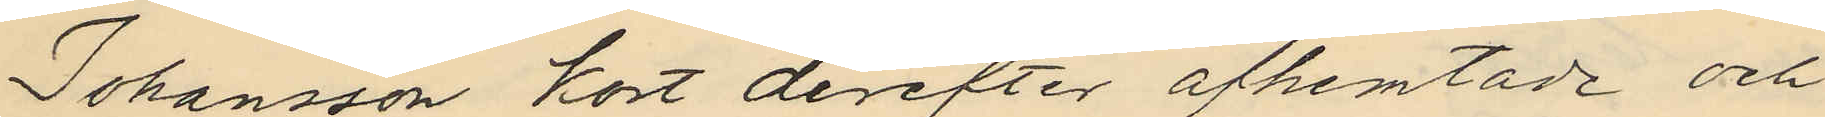Johansson kort derefter afhemtade och
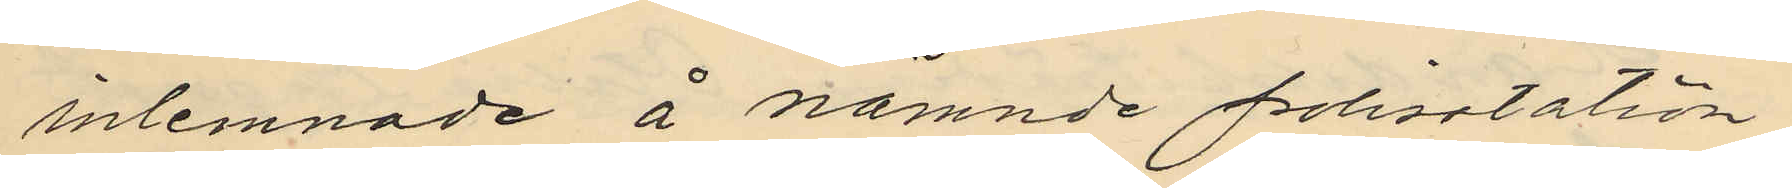inlemnade å nämnde polisstation
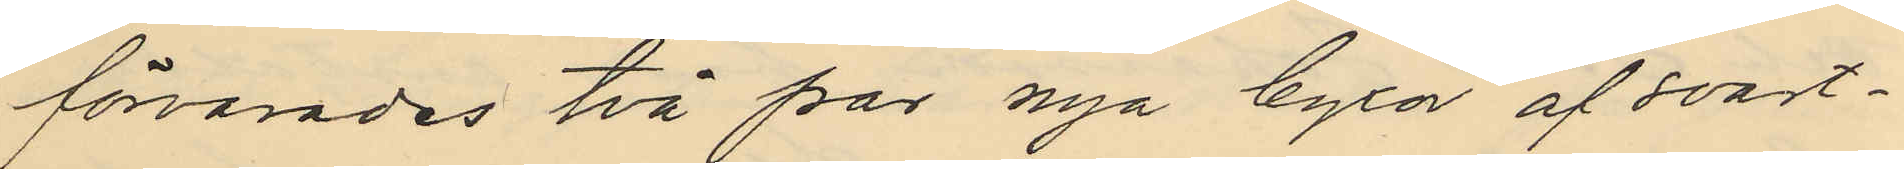förvarades två par nya byxor af svart¬
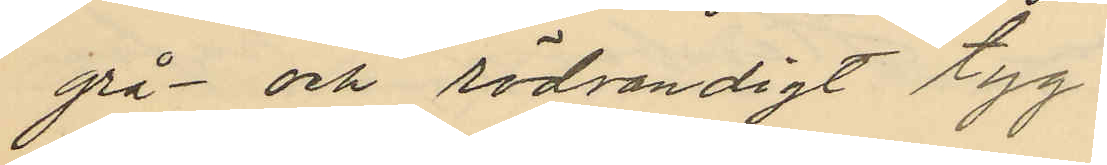grå- och rödrandigt tyg.
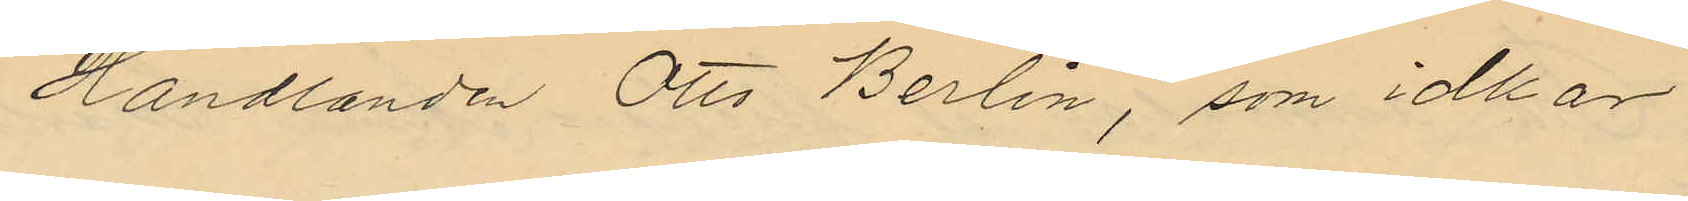Handlanden Otto Berlin, som idkar
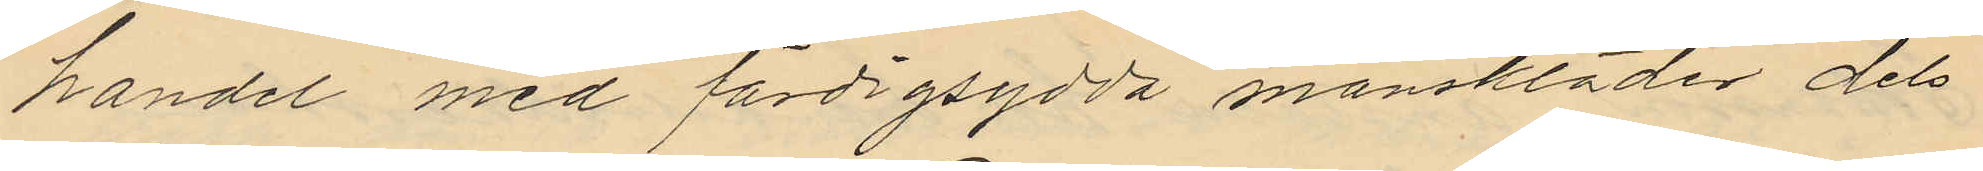handel med färdigsydda manskläder dels
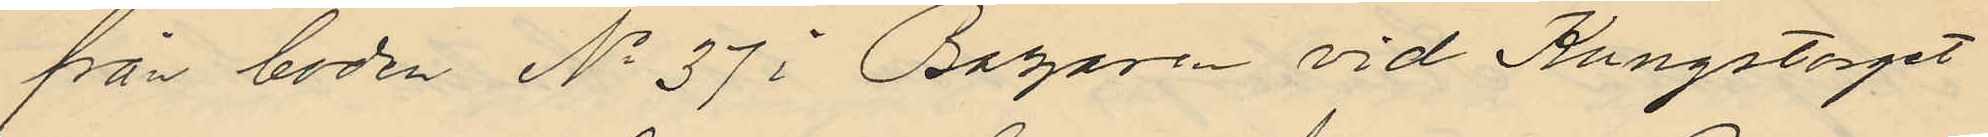från boden No 37 i Bazaren vid Kungstorget
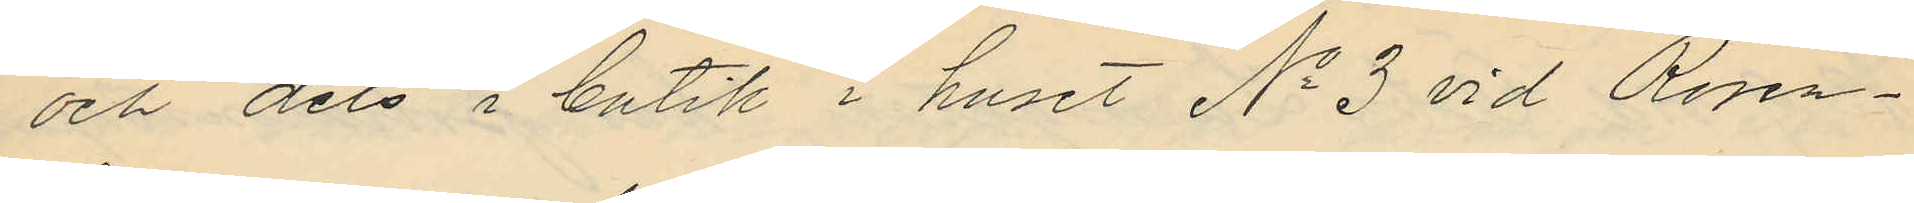och dels i butik i huset No 3 vid Rosen¬
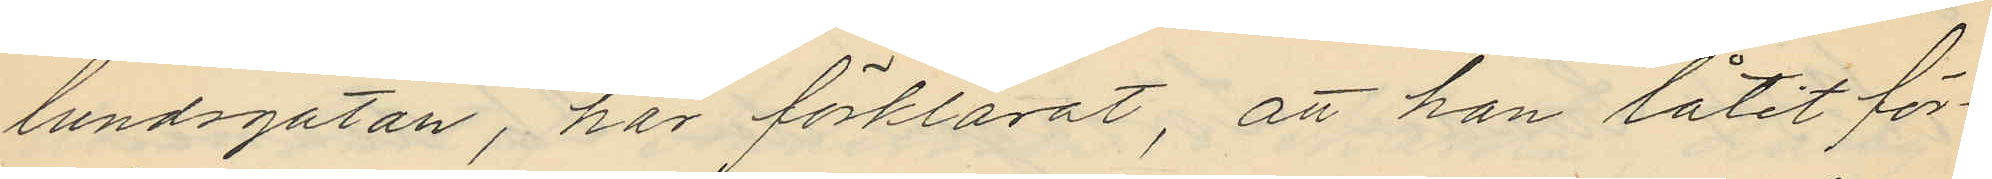lundsgatan, har förklarat, att han låtit för¬
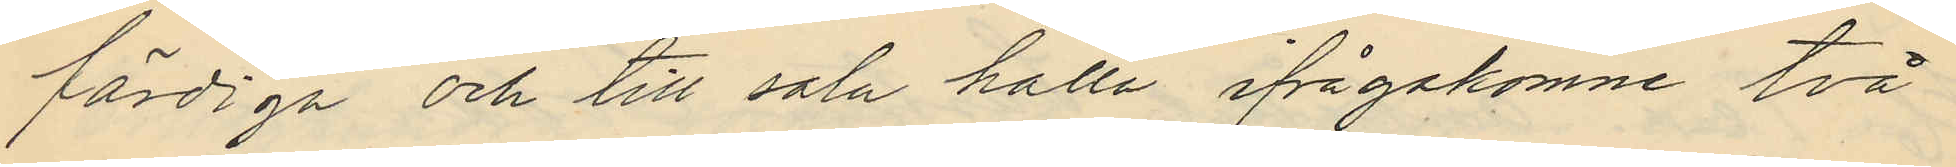färdiga och till salu hålla ifrågakomne två
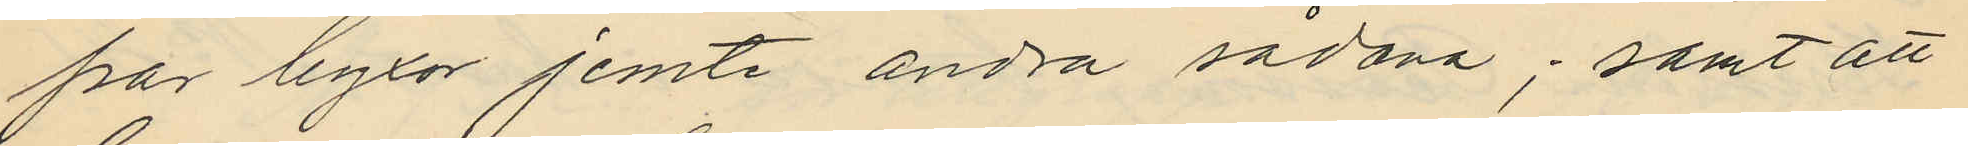par byxor jemte andra sådana; samt att
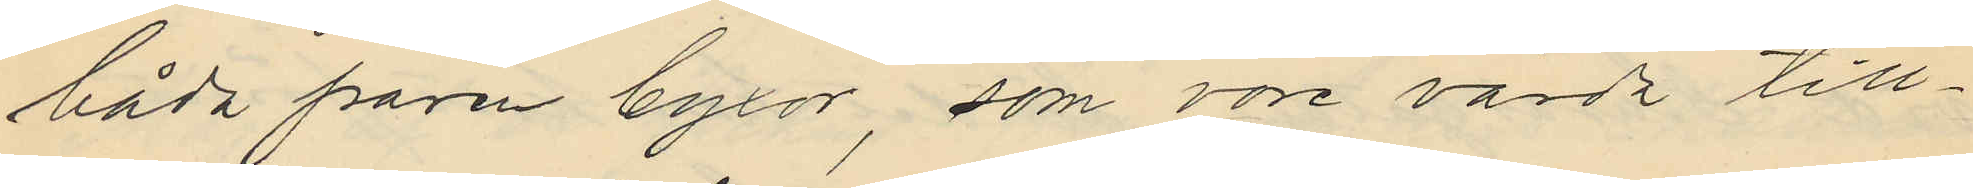båda paren byxor, som vore värda till¬
